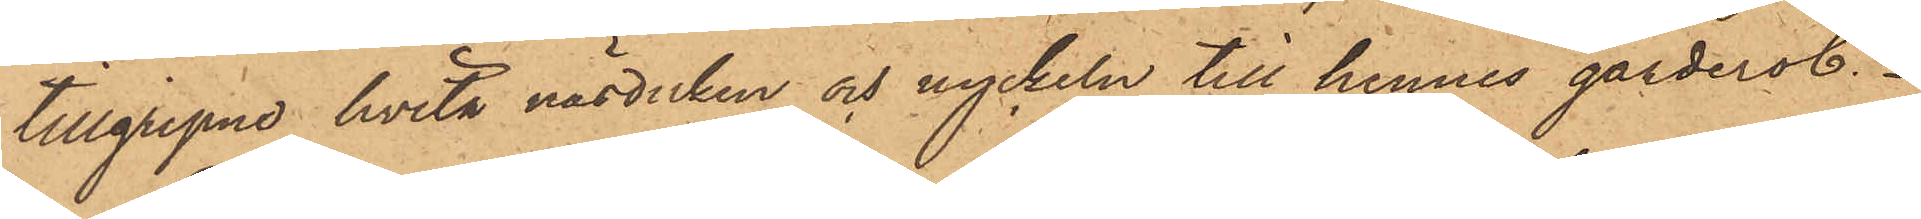tillgripne hvita näsduken och nyckeln till hennes garderob.
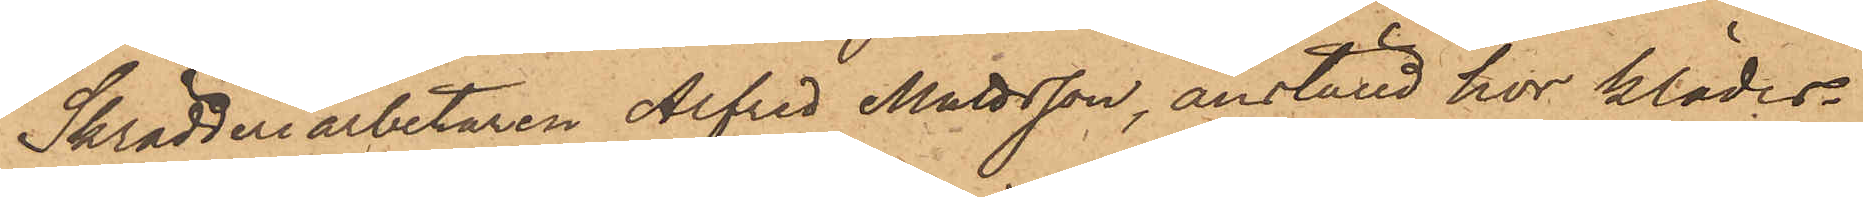Skrädderiarbetaren Alfred Mattsson, anställd hos klädes¬
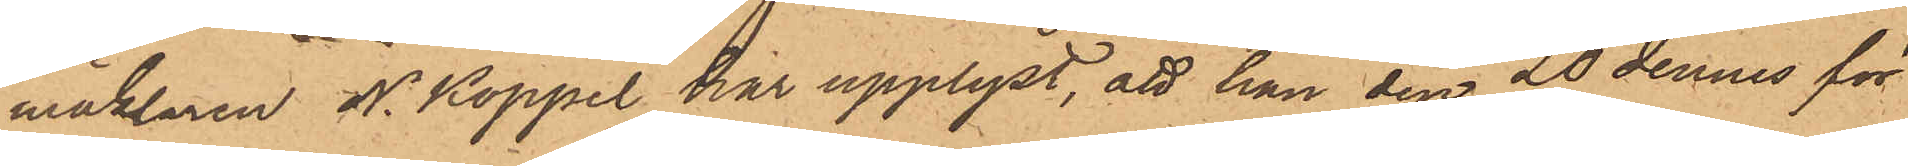mäklaren N. Koppel har upplyst, att han den 20 dennes för
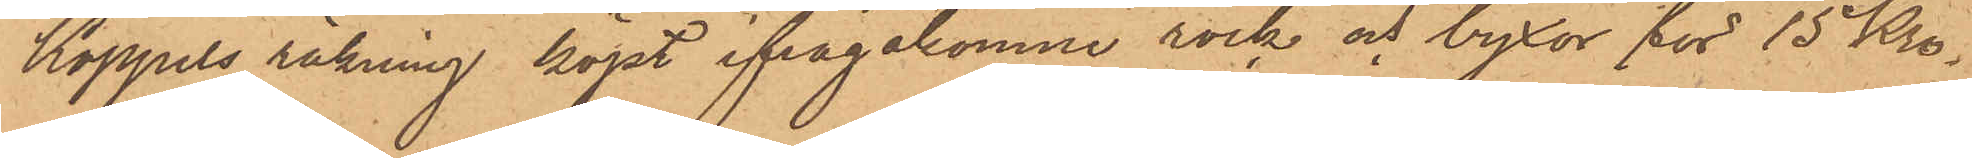Koppels räkning köpt ifrågakomne rock och byxor för 15 Kro¬
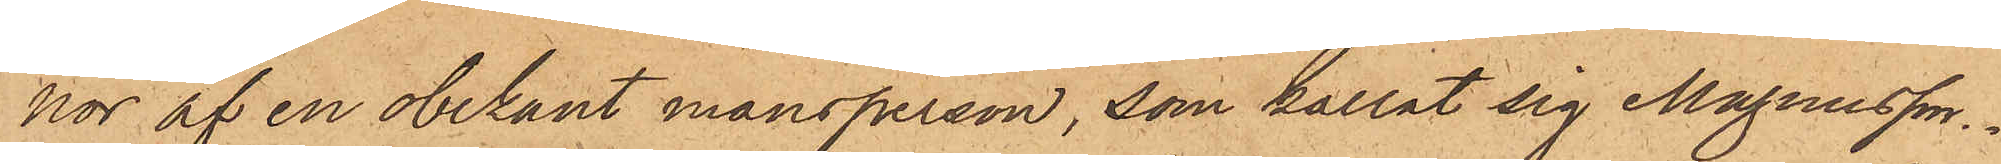nor af en obekant mansperson, som kallat sig Magnusson.
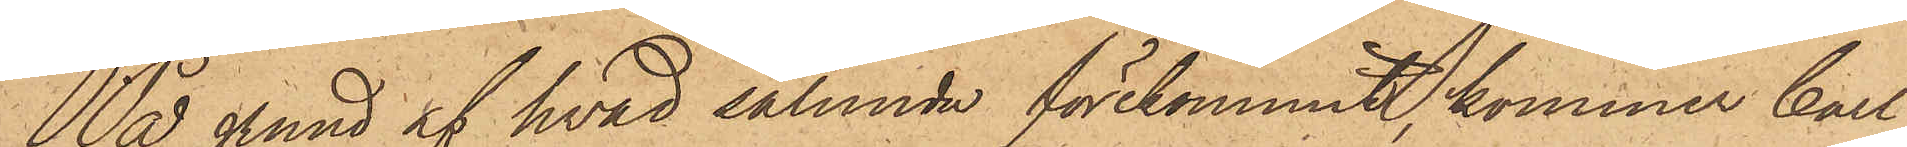På grund af hvad sålunda förekommit, kommer Carl
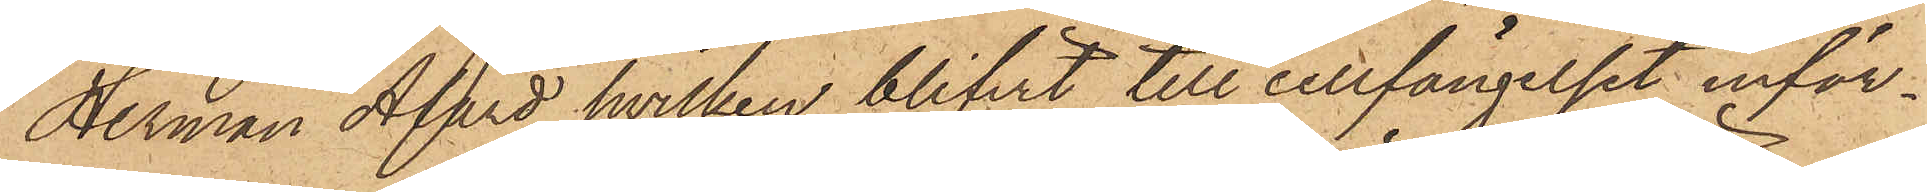Herman Alard, hvilken blifvit till cellfängelset inför¬
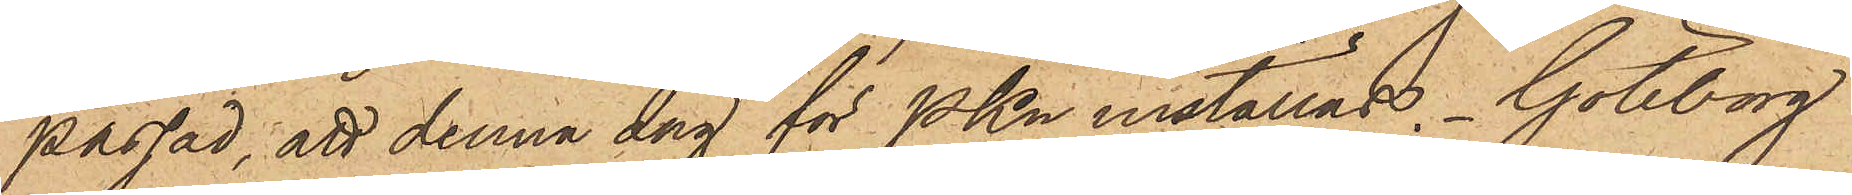passad, att denna dag för PKn inställas. Göteborg
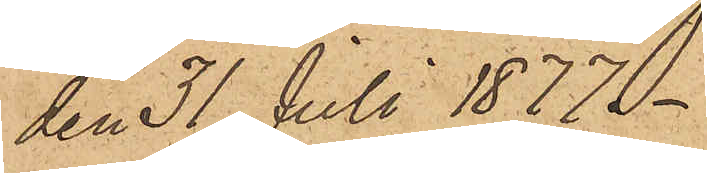den 31 Juli 1877.
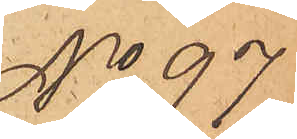No 97
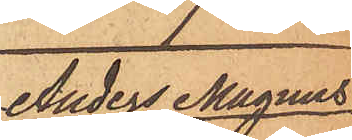Anders Magnus
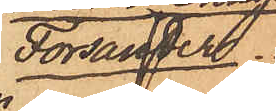Forsander.
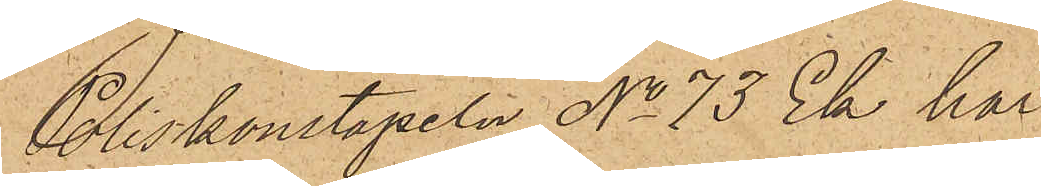Poliskonstapeln No 73 Ek har
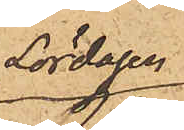Lördagen
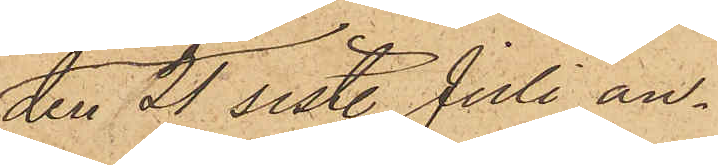den 21 sistl Juli an¬
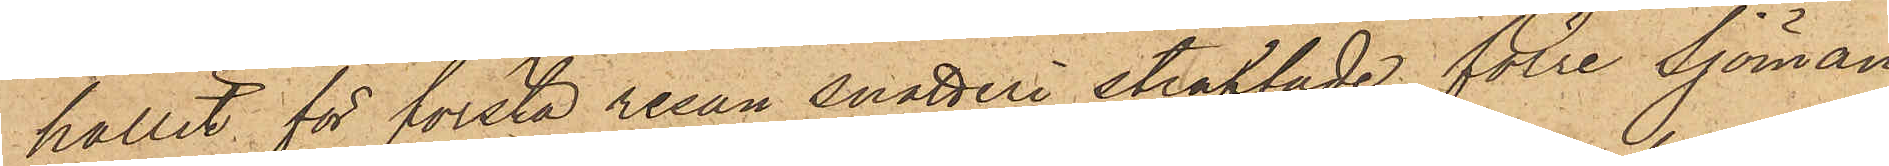hållit för första resan snatteri straffade förre Sjöman¬
